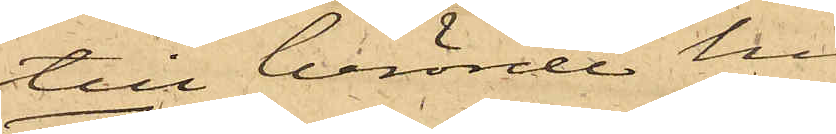till berörde hus;
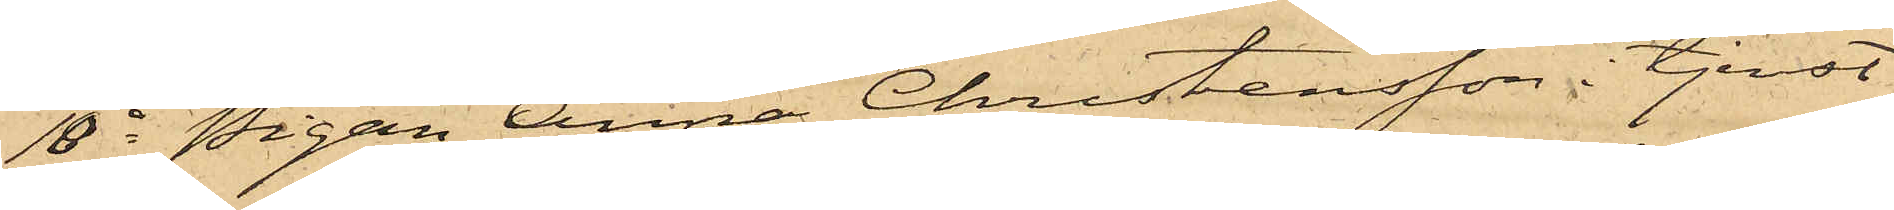10o Pigan Anna Christensson i tjenst
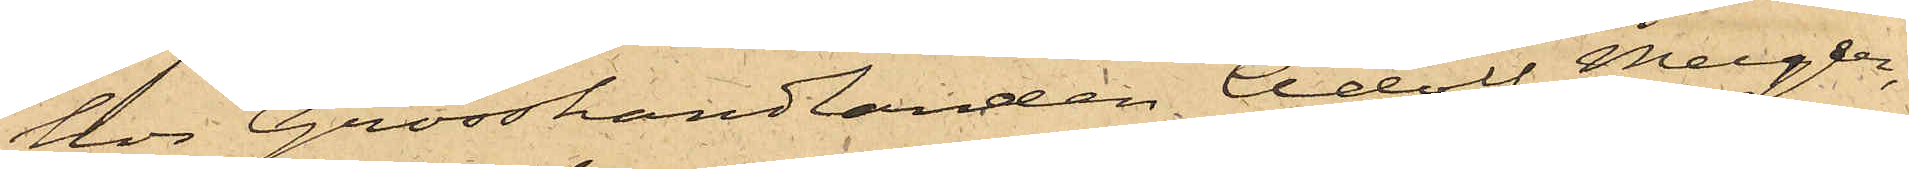hos Grosshandlanden Adolf Meyer,
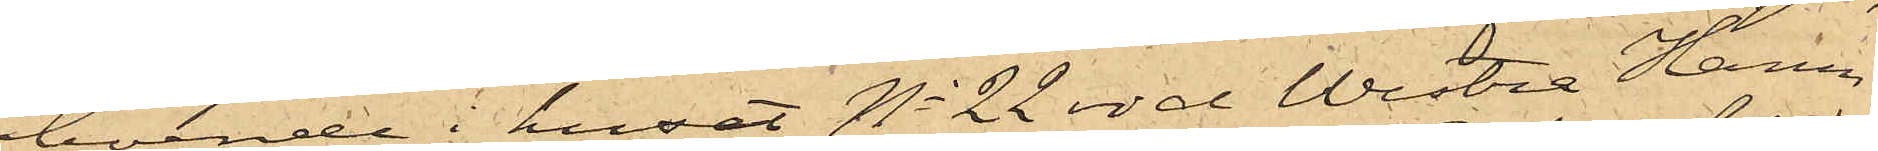boende i huset No 22 vid Westra Hamn¬
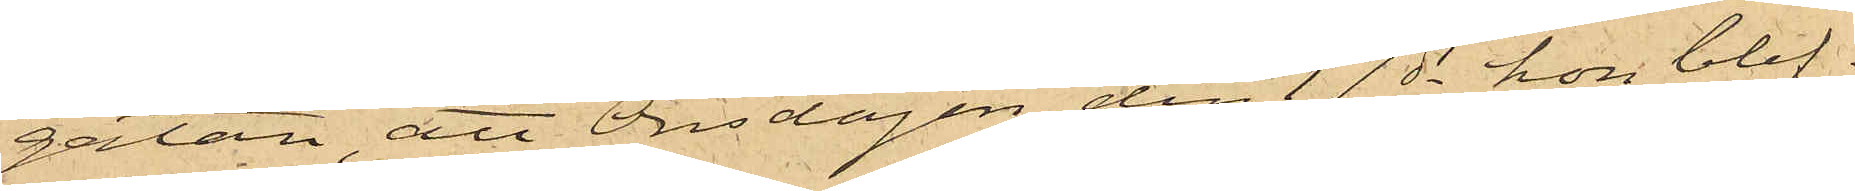gatan, att Onsdagen den 17 ds hon blif¬
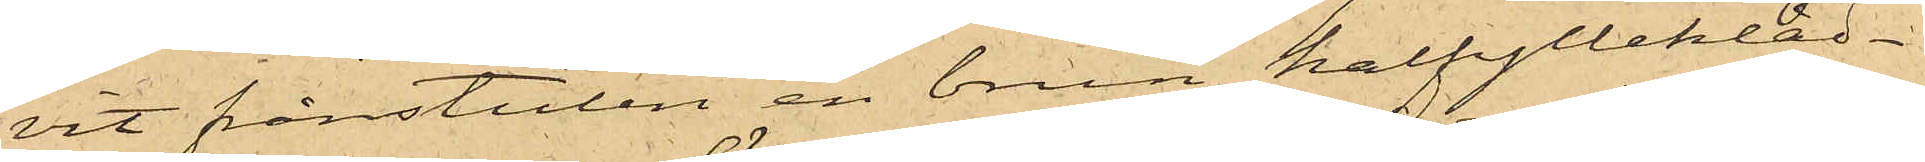vit frånstulen en brun halfyllekläd¬
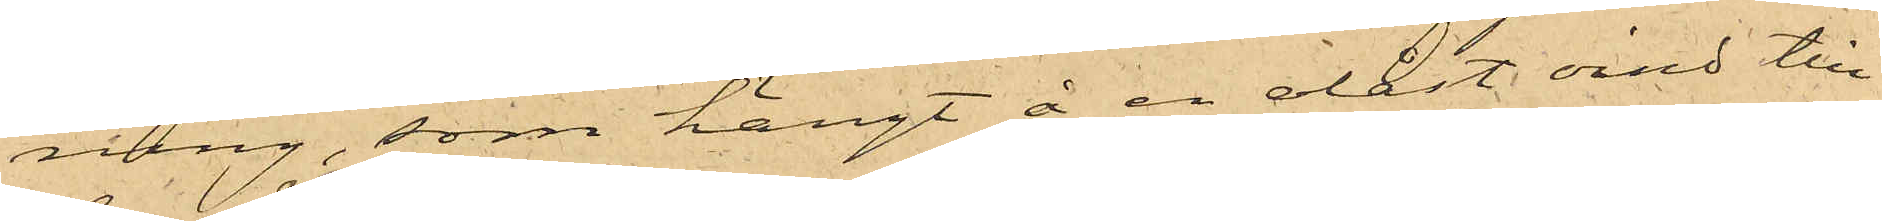ning, som hängt å en olåst vind till
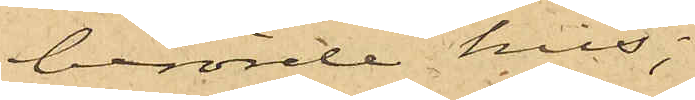berörde hus;
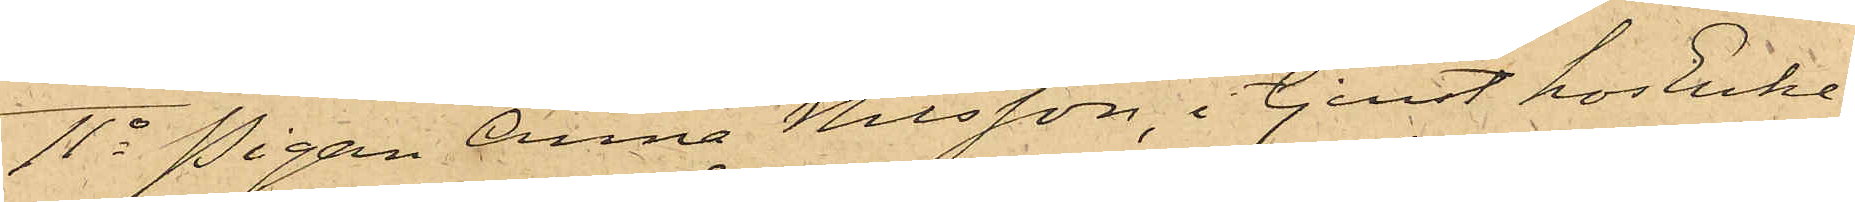11o Pigan Anna Nilsson, i tjenst hos Enke¬
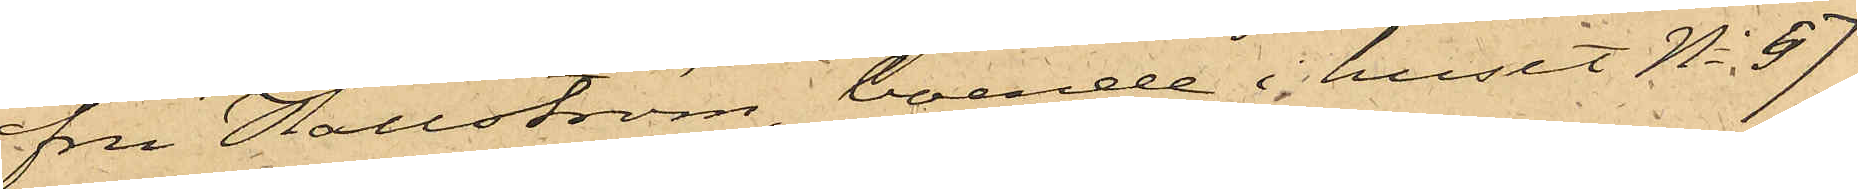fru Hallström, boende i huset No 57
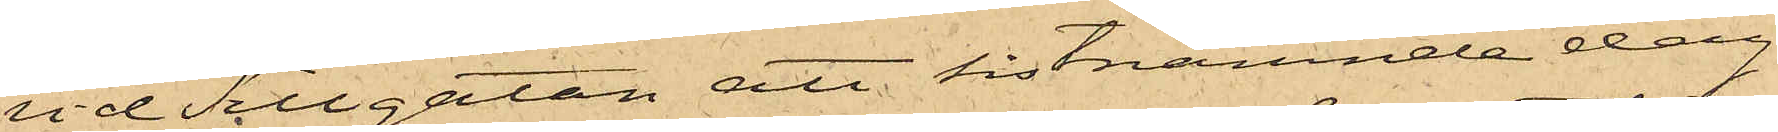vid Sillgatan att sistnämnde dag
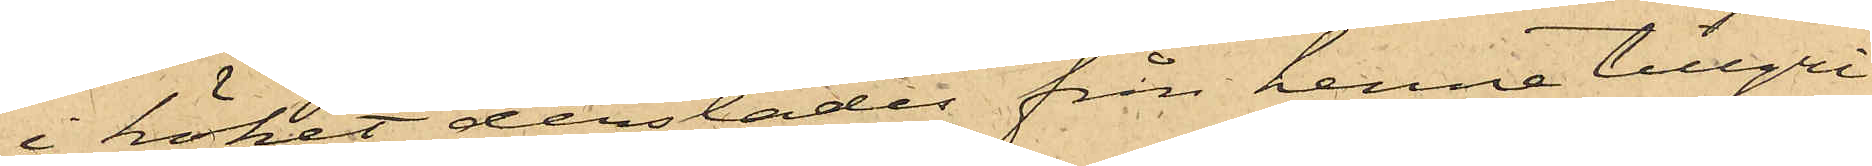i köket derstädes från henne tillgri¬
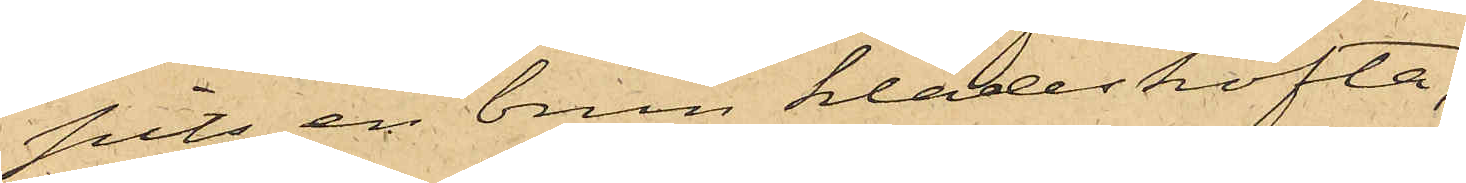pits en brun klädeskofta;
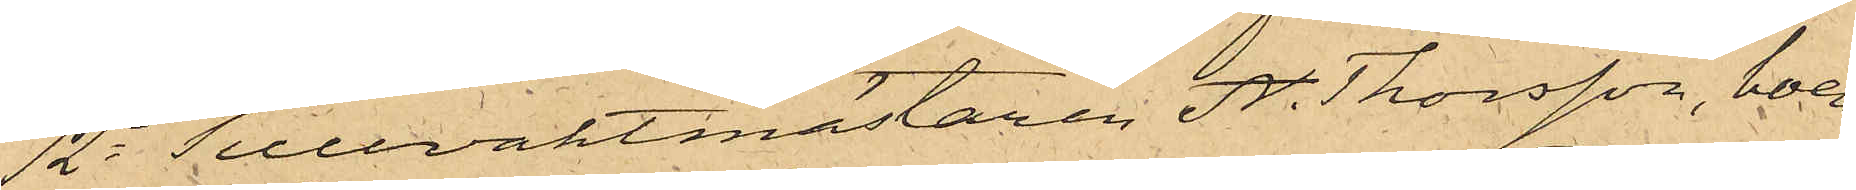12o Tullvaktmästaren A. Thorsson, boen¬
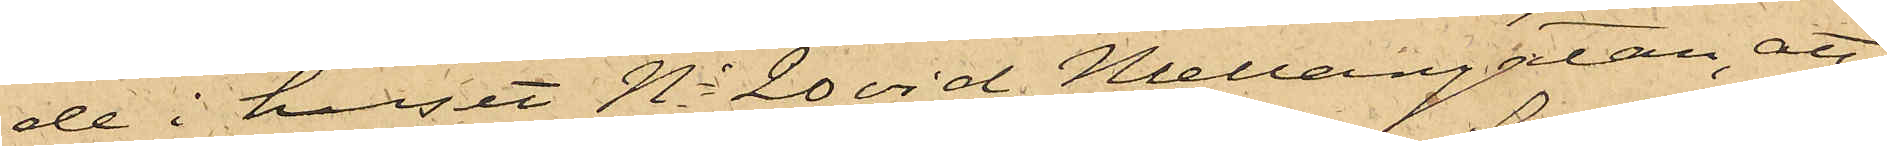de i huset No 20 vid Mellangatan, att
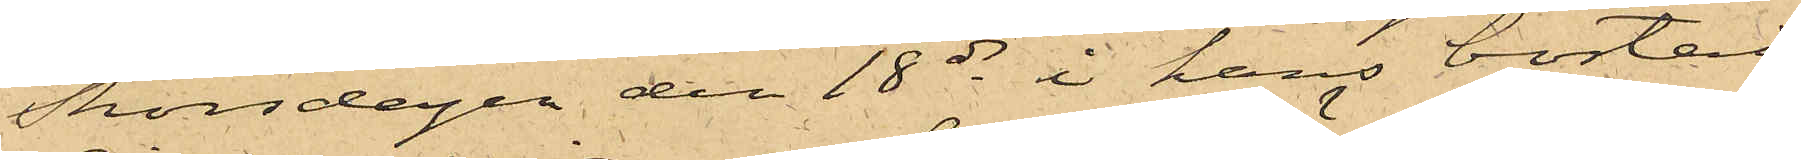Thorsdagen den 18 ds i hans bostad
